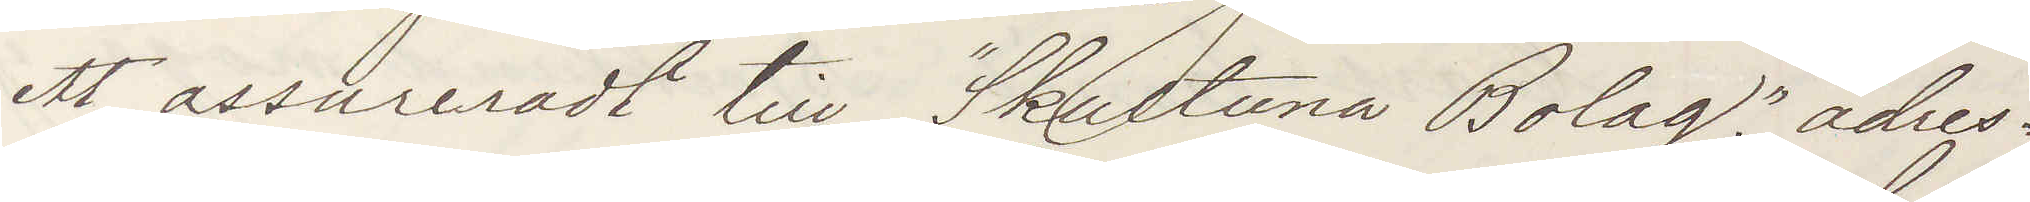ett assureradt till "Skultuna Bolag" adres¬
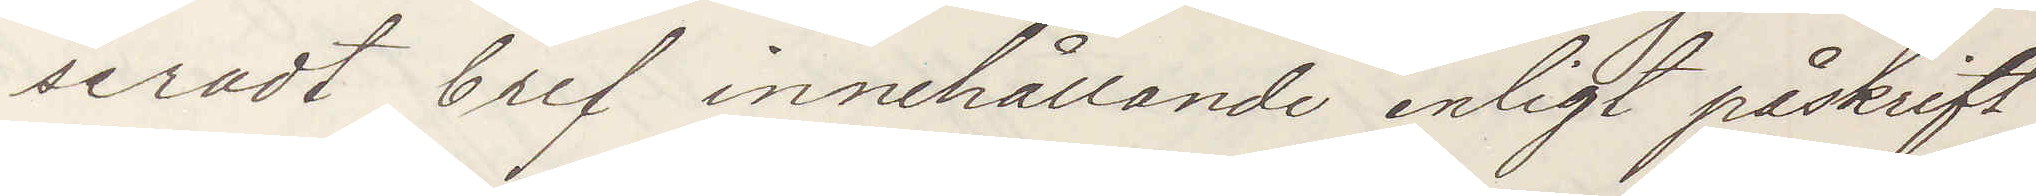seradt bref innehållande enligt påskrift
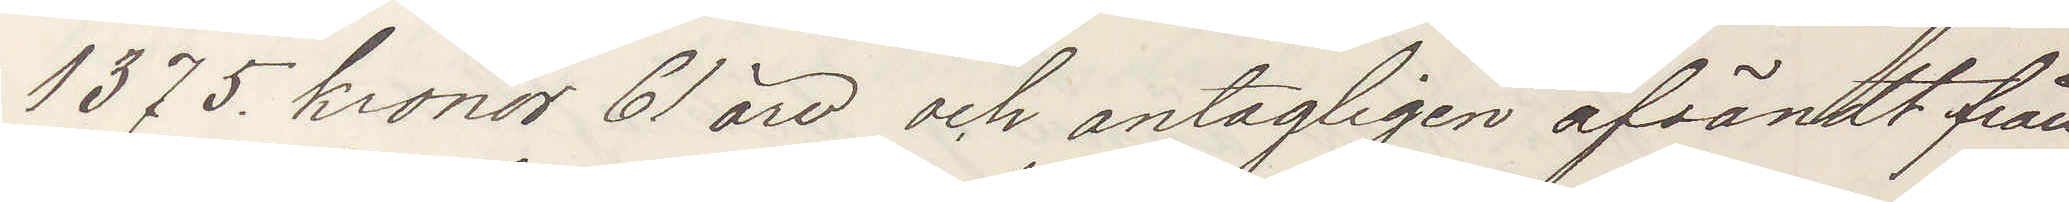1375 kronor 61 öre och antagligen afsändt från
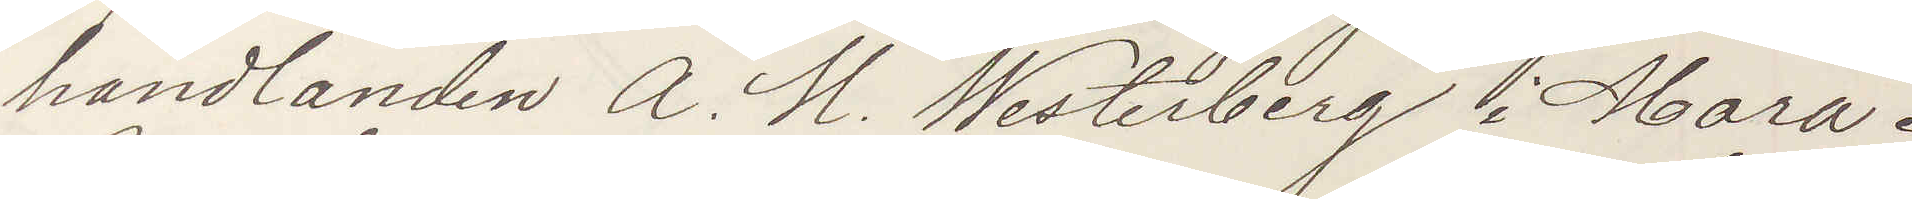handlanden A. M. Westerberg i Mora.
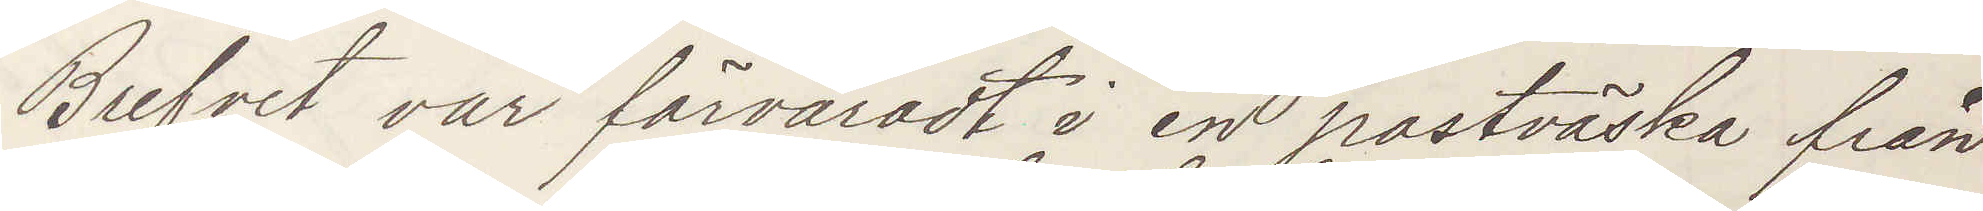Brefvet var förvaradt i en postväska från
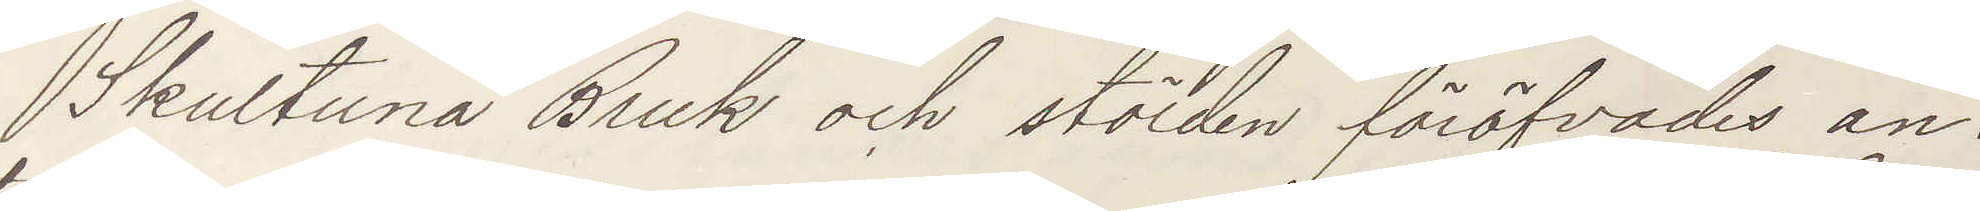Skultuna Bruk och stölden föröfvades an¬
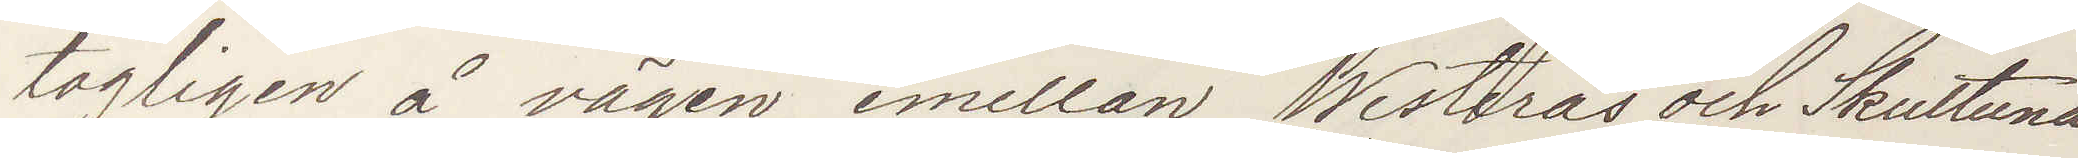tagligen å vägen emellan Westerås och Skultuna
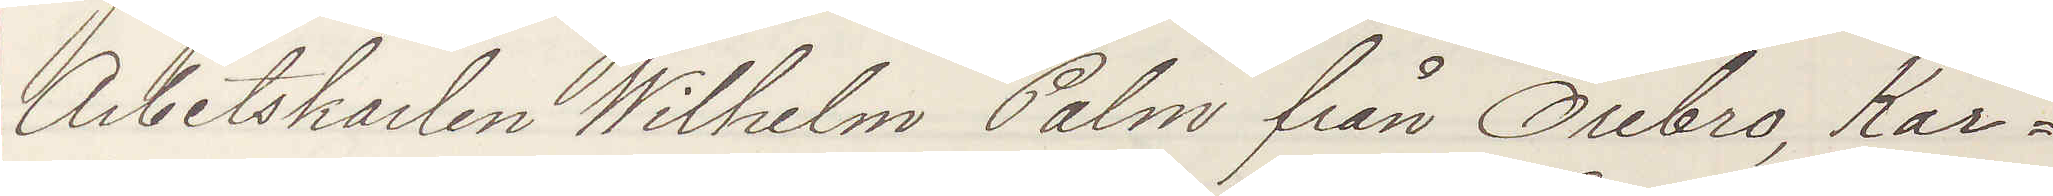Arbetskarlen Wilhelm Palm från Örebro, Kar¬
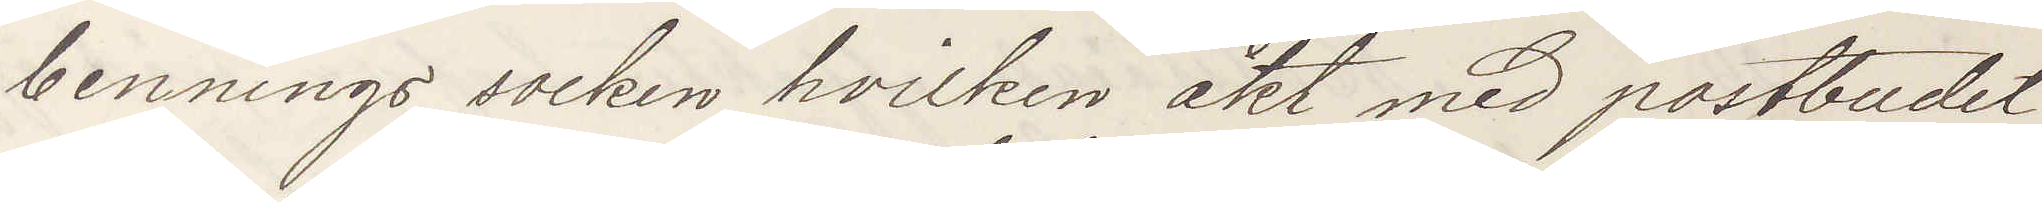bennings socken, hvilken åkt med postbudet,
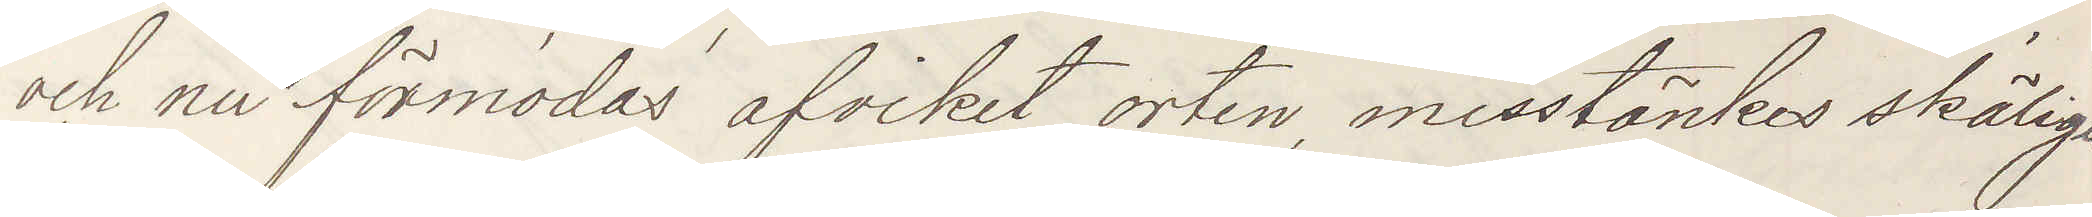och nu förmodas afvikit orten, misstänkes skäligen
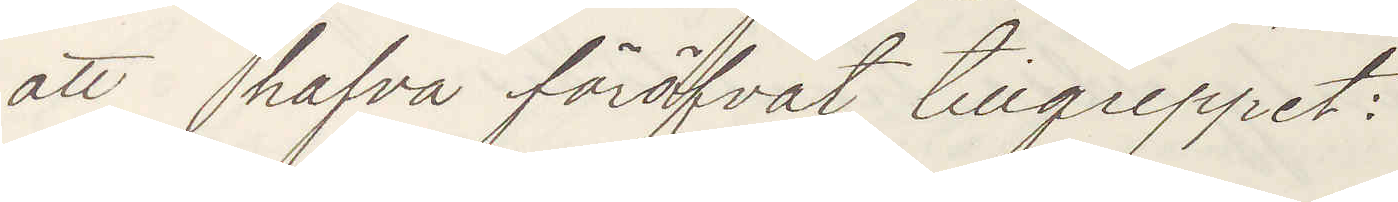att hafva föröfvat tillgreppet:
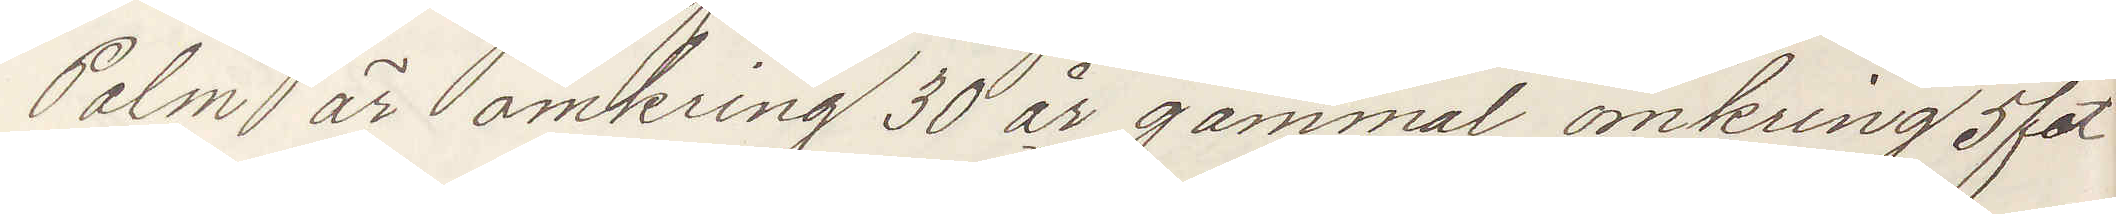Palm är omkring 30 år gammal omkring 5 fot
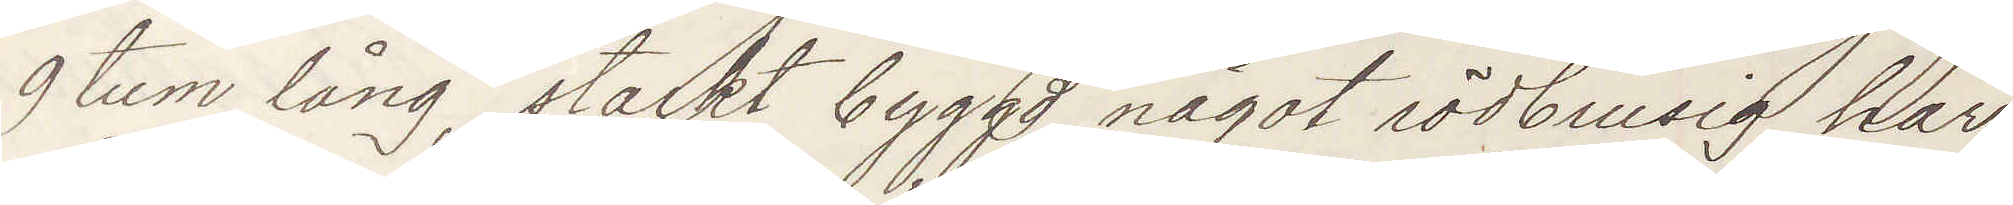9 tum lång, starkt byggd något rödbrusig, har
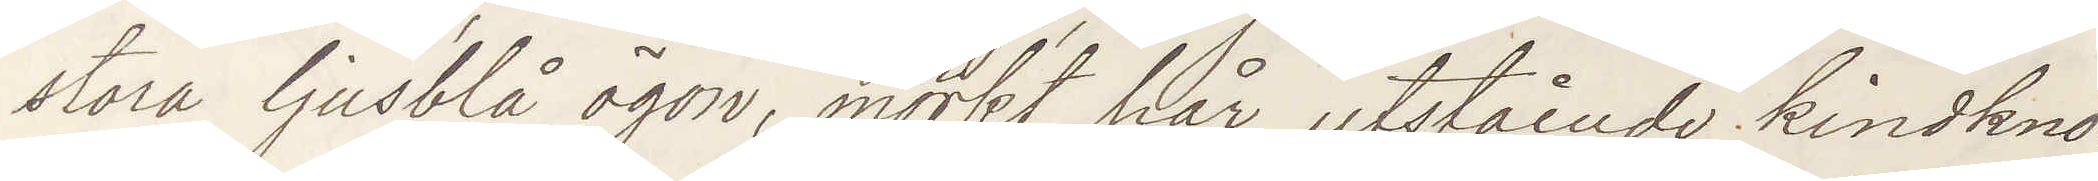stora ljusblå ögon, mörkt hår, utstående kindkno¬
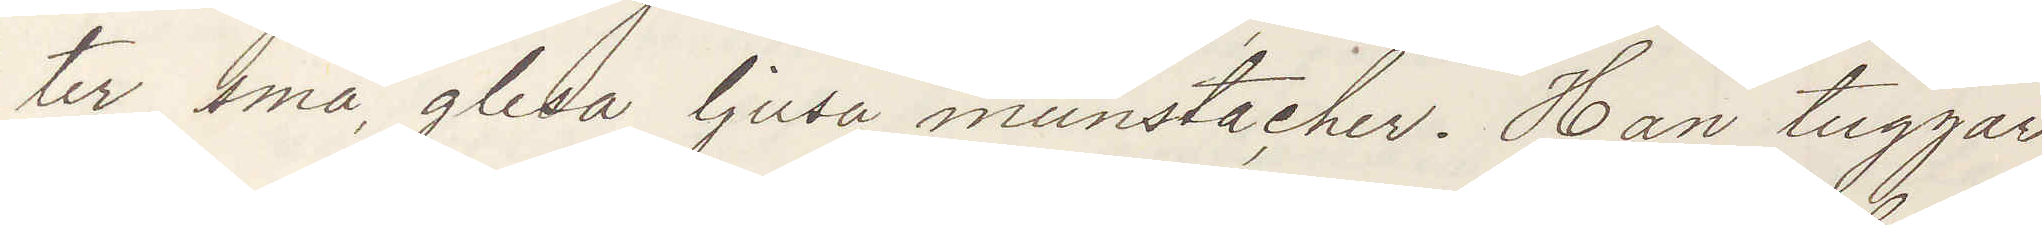ter, små glesa ljusa munstacher. Han tuggar
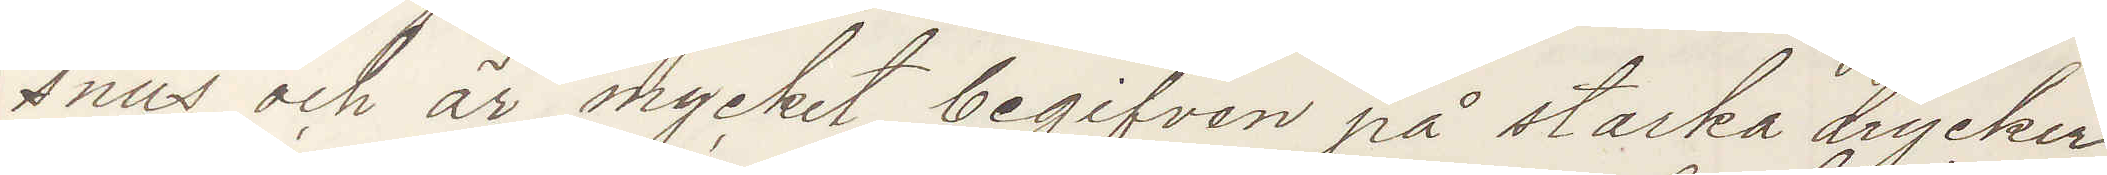snus och är mycket begifven på starka drycker,
